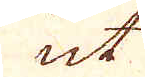ut
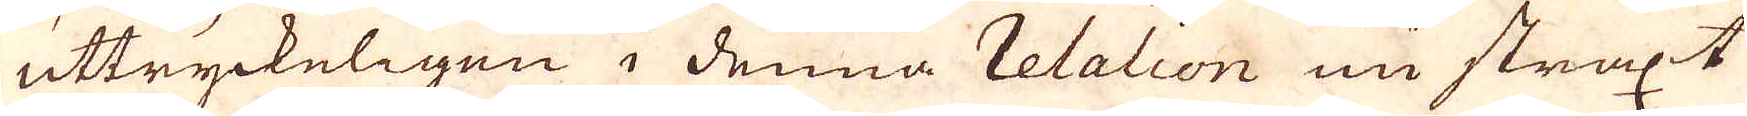uttryckeligen i denna relation nu straxt
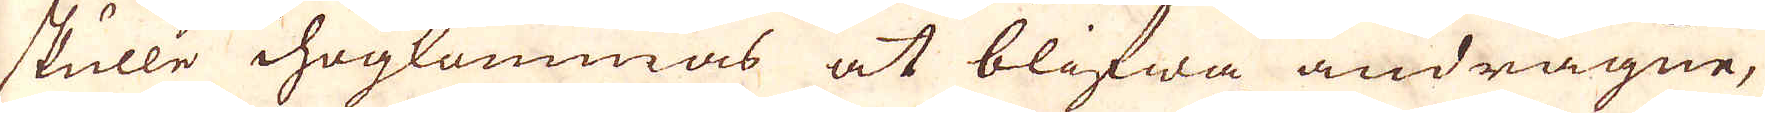skulle ihogkommas at blifwa andragne,
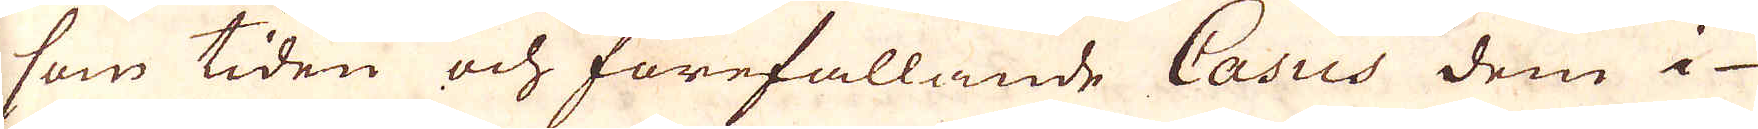som tiden och förefallande Casus dem i
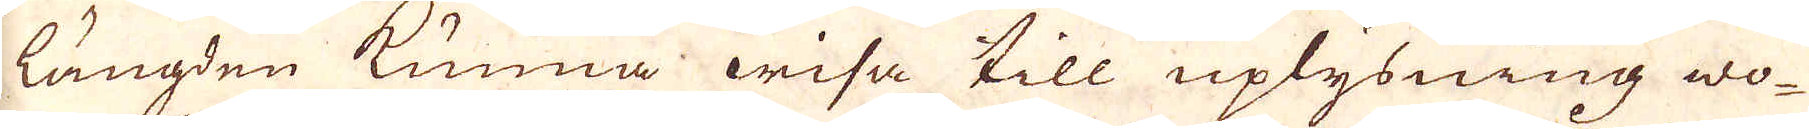längden kunna wisa till uplysning wo-
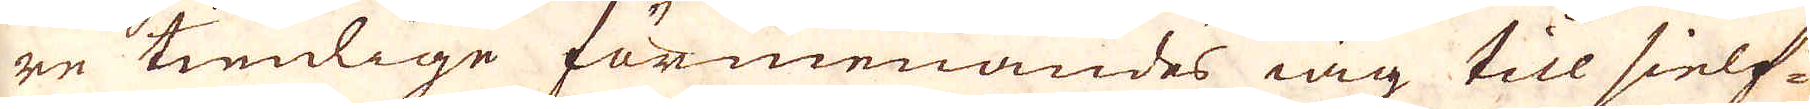re timlige förmenandes iag till sielf-
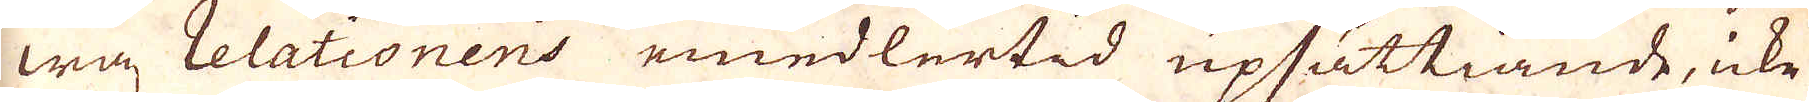wa relationens emedlertid upsättiande, icke
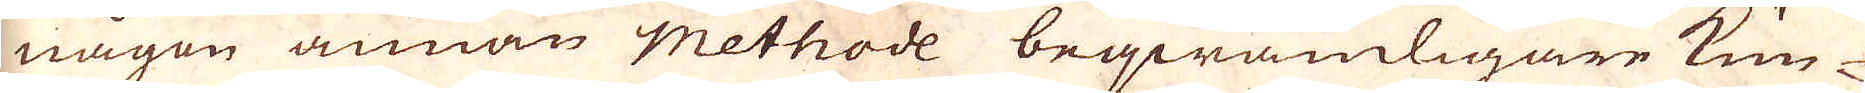någon annan Methode beqwämligare kun-
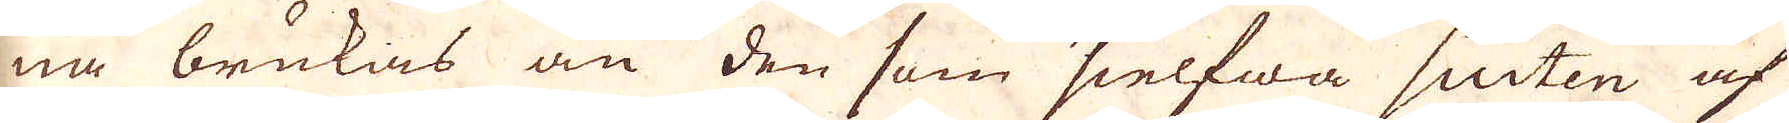na brukas än den som sielfwa suiten af
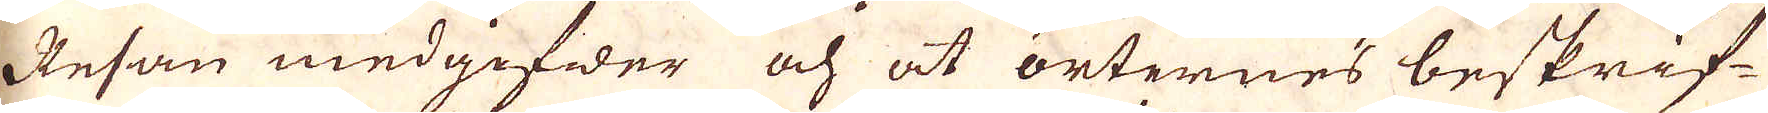Resan medgifwer och at orternes beskrif-
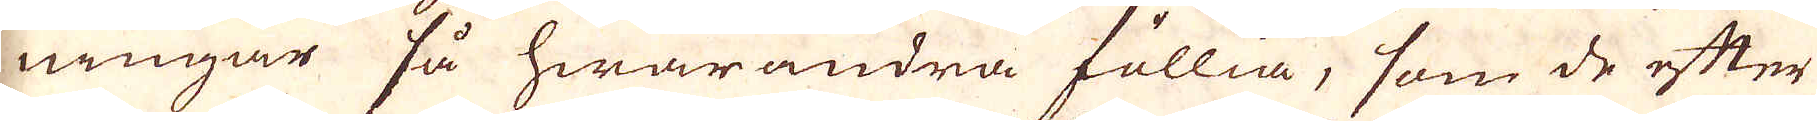ningar så hwarandra föllia, som de efter
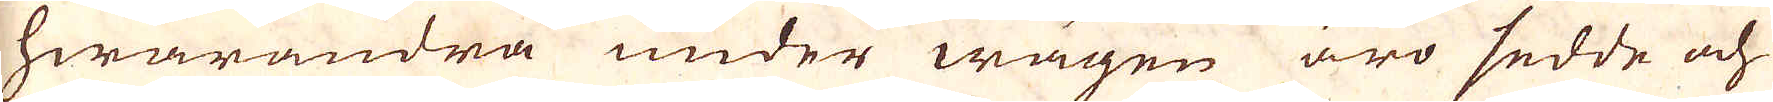hwarandra under wägen äro sedde och
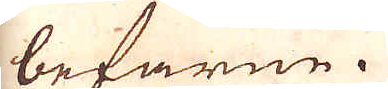befarne.
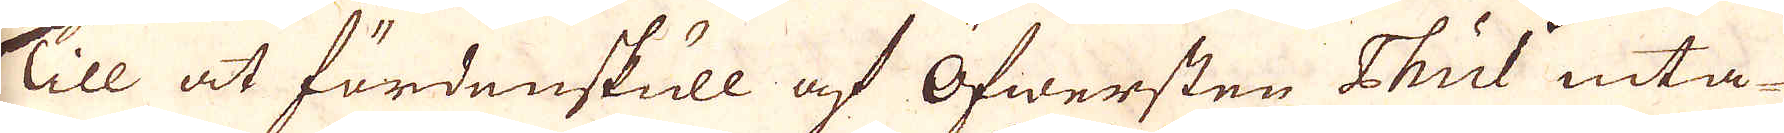Till at fördenskull af Öfwersten Thul inta-
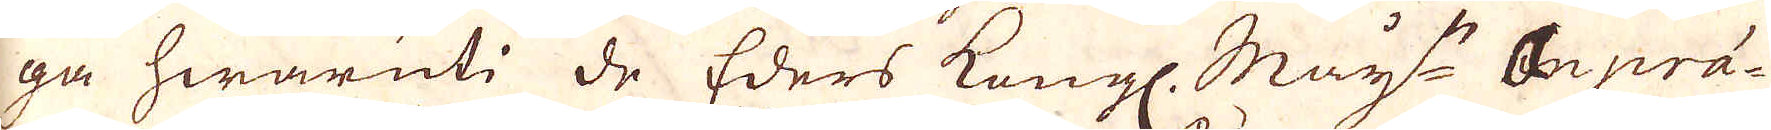ga hwaruti de Eders Kongl. May:ts anprä-
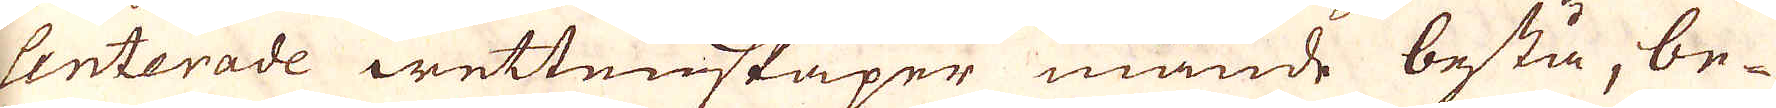senterade wettenskaper månde bestå, be-
